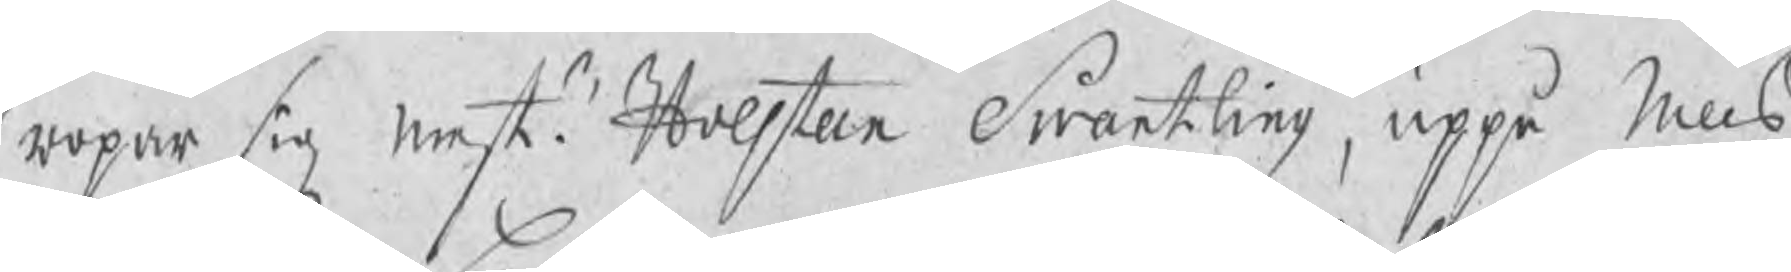ropar sig mestr Holsteen Swartling, uppå Nills
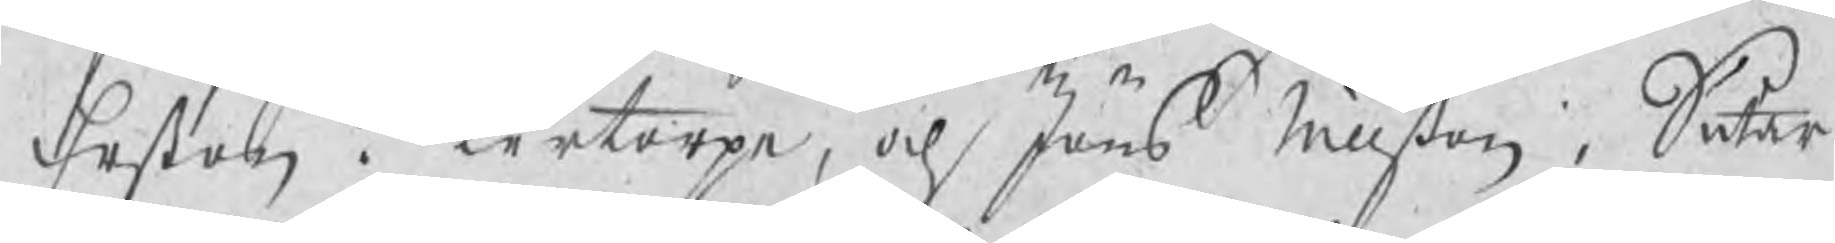Erßon i Lertorpe, och Jöns Nillßon i Sutar¬
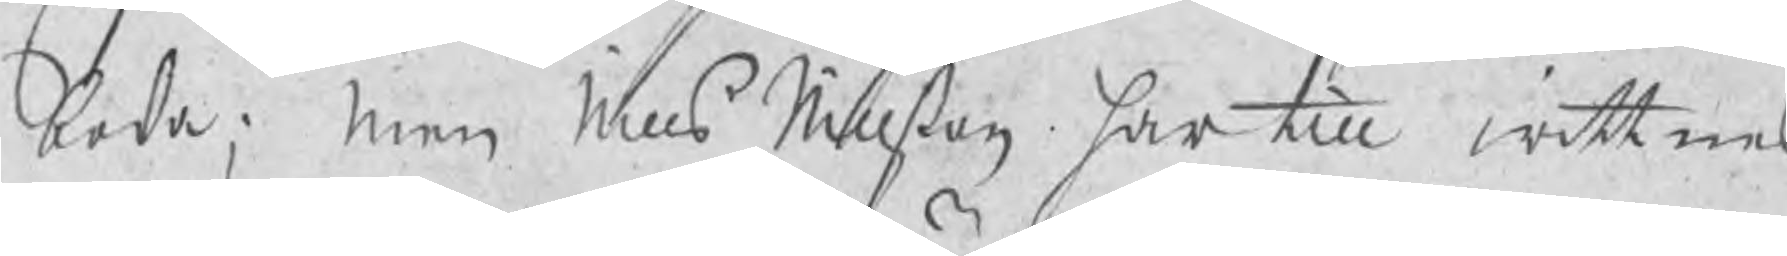boda; men Nills Nillßon har till wittnes
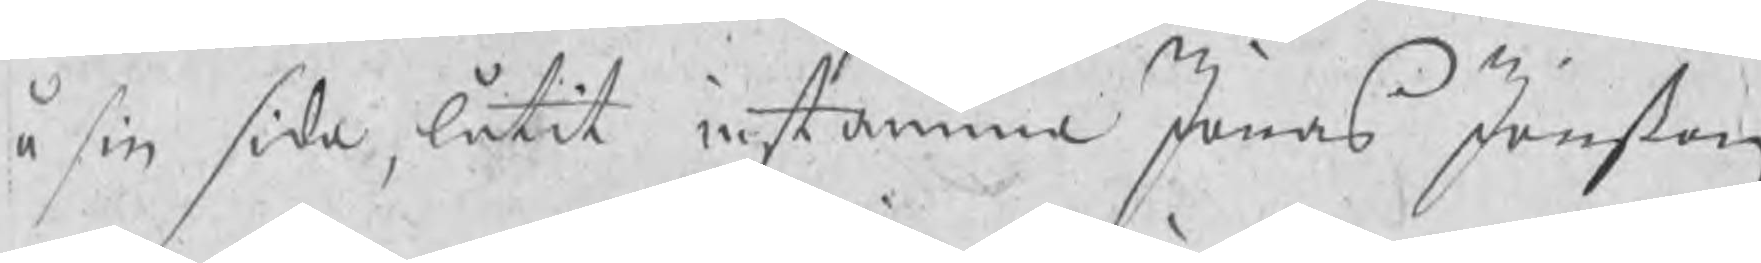å sin sida, låtit instämma Jonas Jonßon
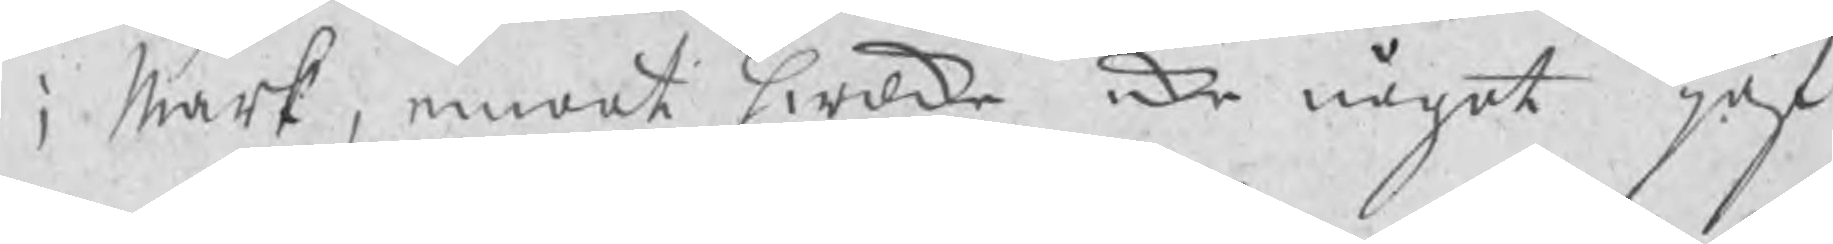i Mark, emoot hwilke icke något jäf
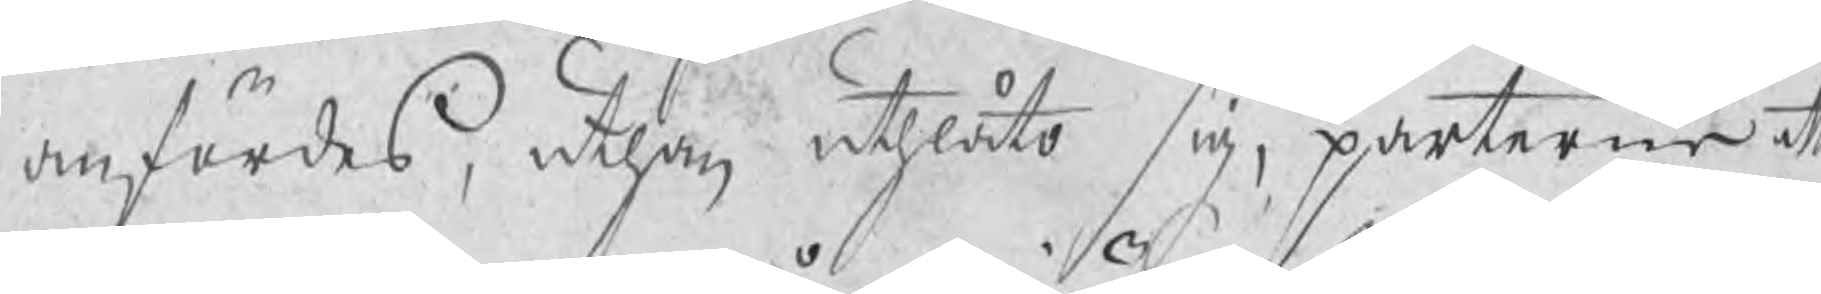anfördes, uthan uthlåto sig, parterne att
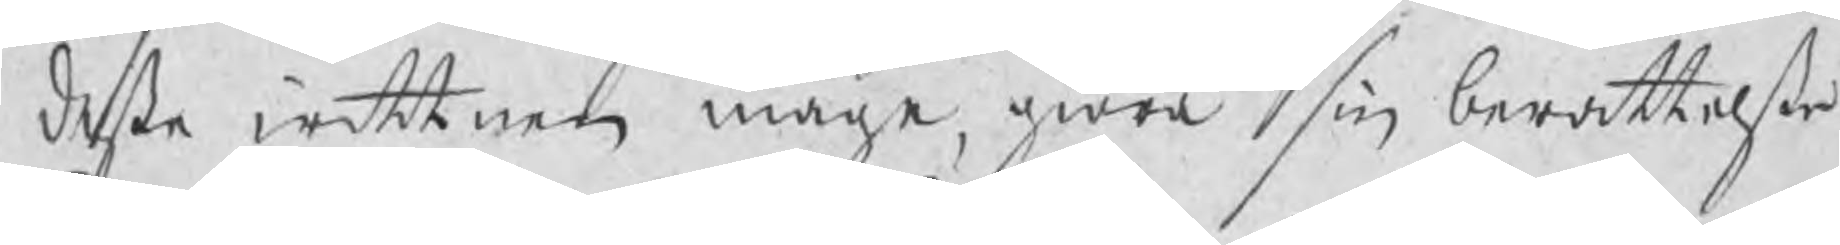deße wittnen måge, giöra sin berättelße
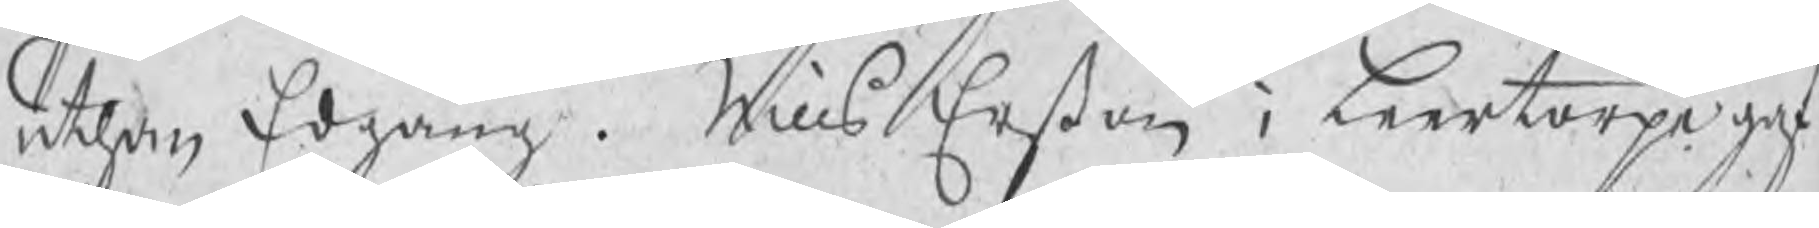uthan Edgång. Nills Erßon i Leertorpe gaf
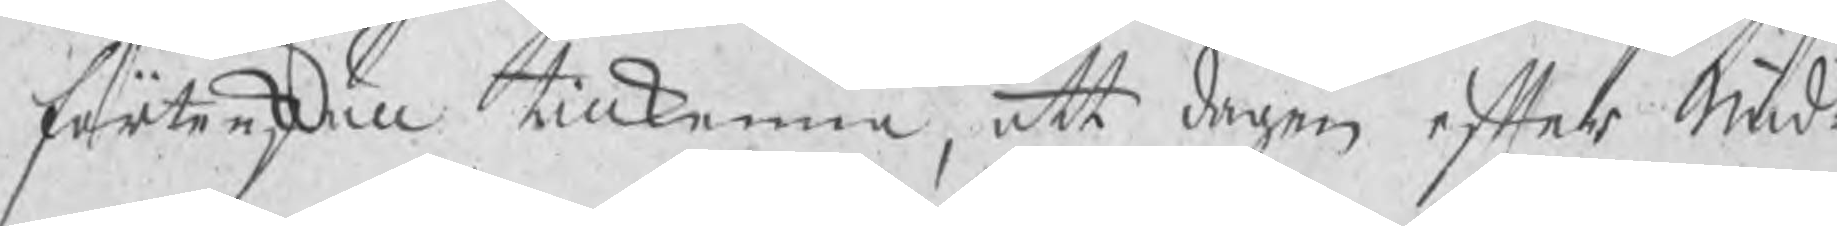förtenskull tillkenna, att dagen efter Mid¬
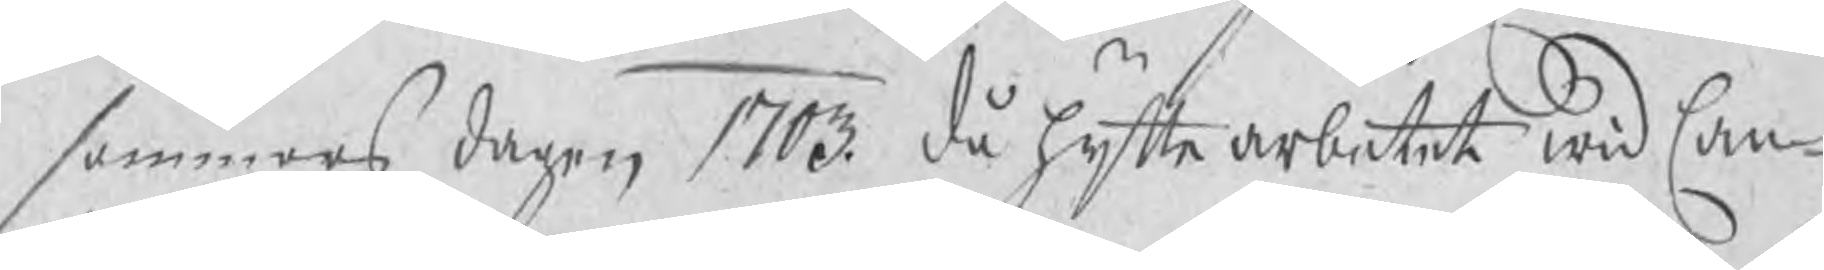sommars dagen 1703 då hyttearbetet wid Can¬
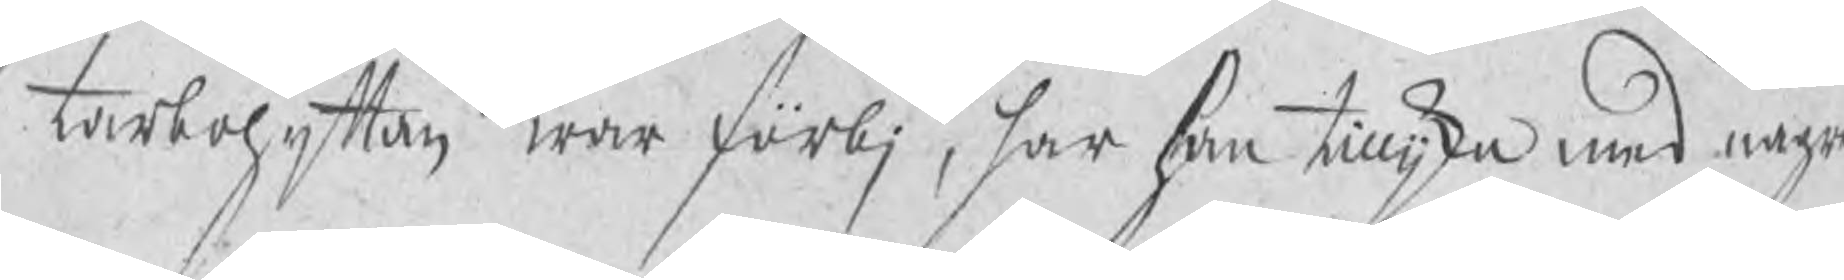tarbohyttan war förbj, har han tillijka med några
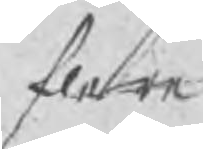flere
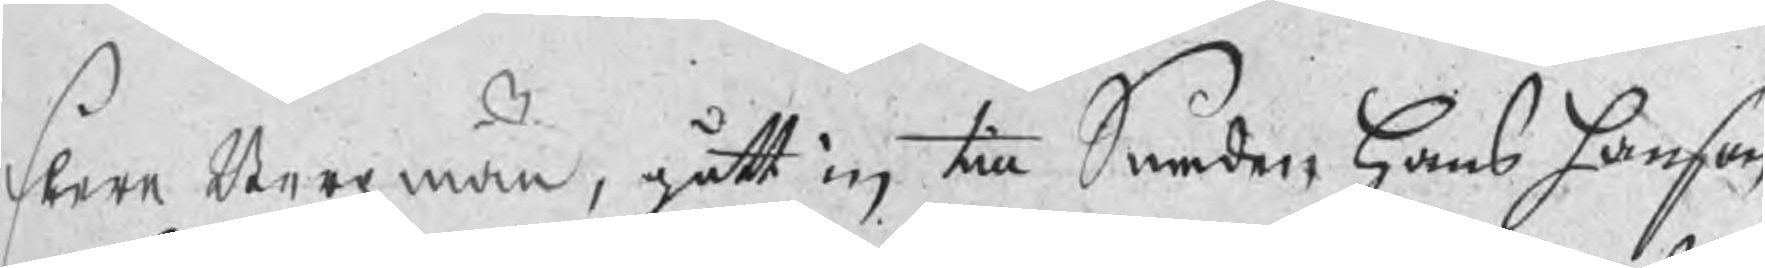flere Bergzmän, gått in till Smeden Hans hanson
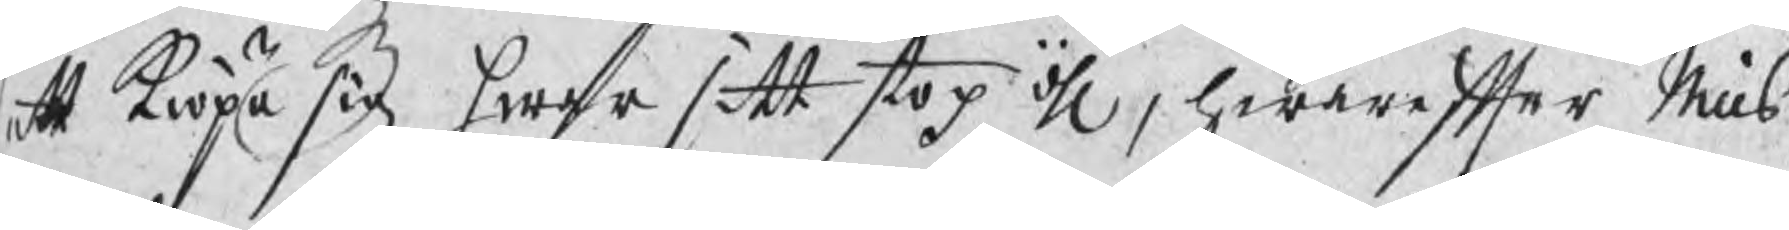att kiöpa sig hwar sitt stop öhl, hwarefter Nills
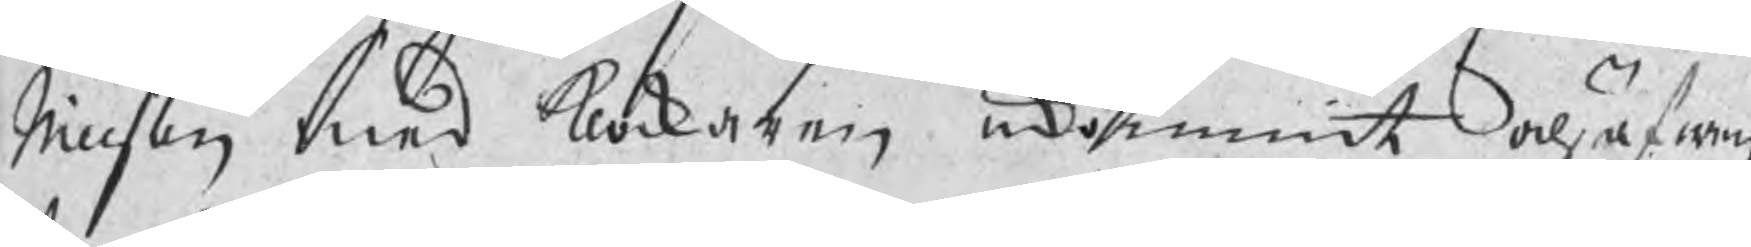Nillson med klockaren inkommit och äfwen
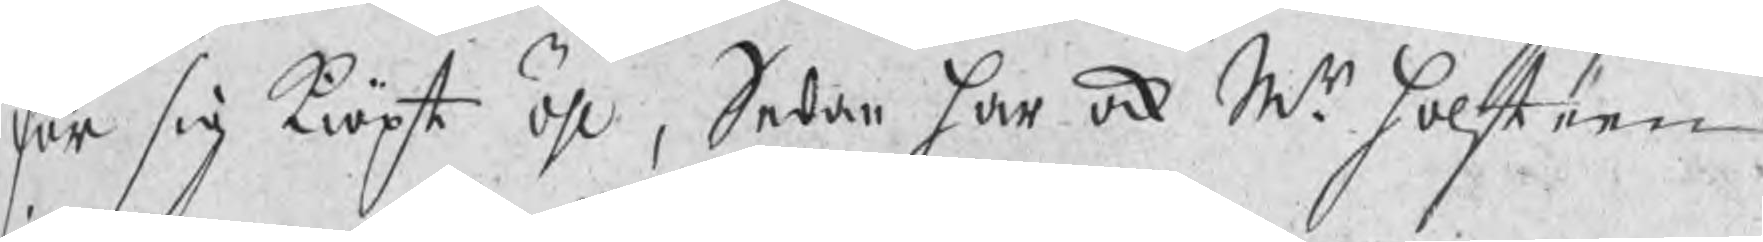för sig kiöpt öhl, Sedan har ock Mr Holsteen
